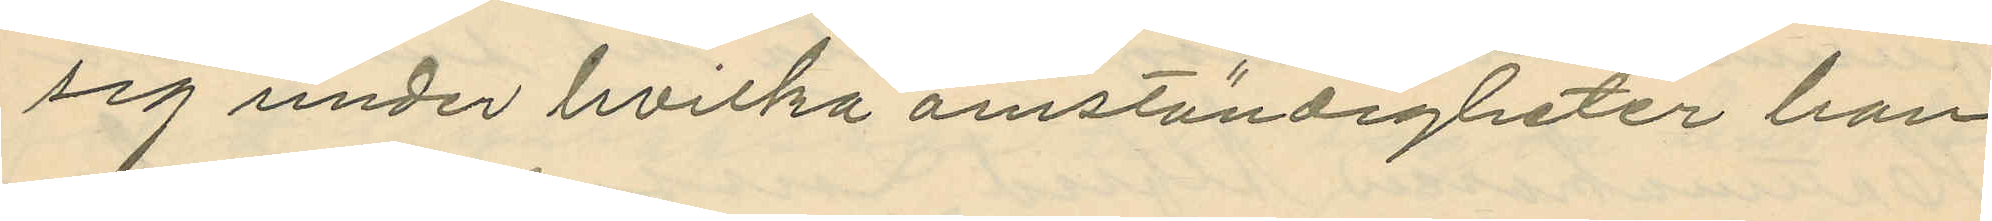sig under hvilka omständigheter han
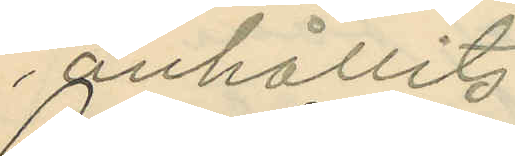anhållits.
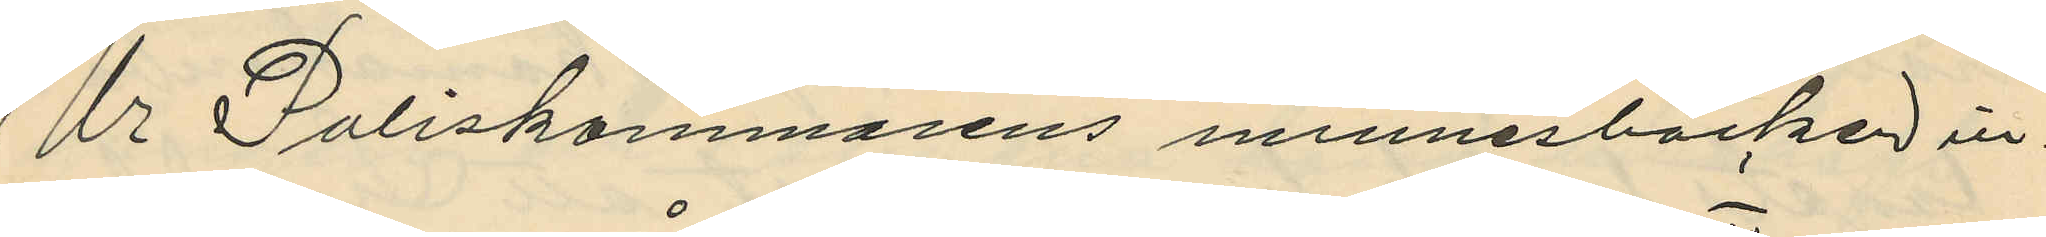Ur Poliskammarens minnesböcker in¬
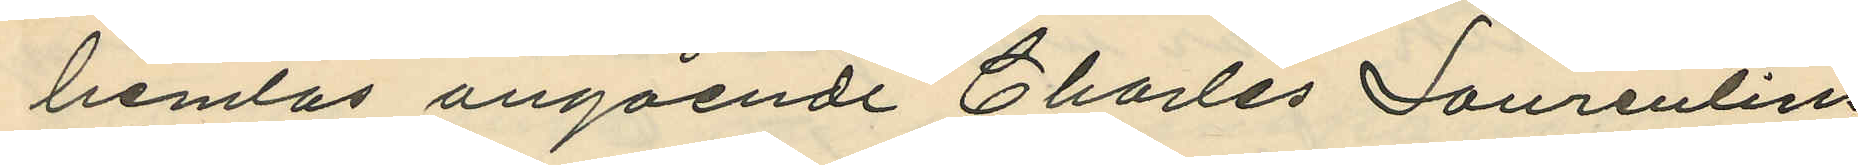hemtas angående Charles Laurentius
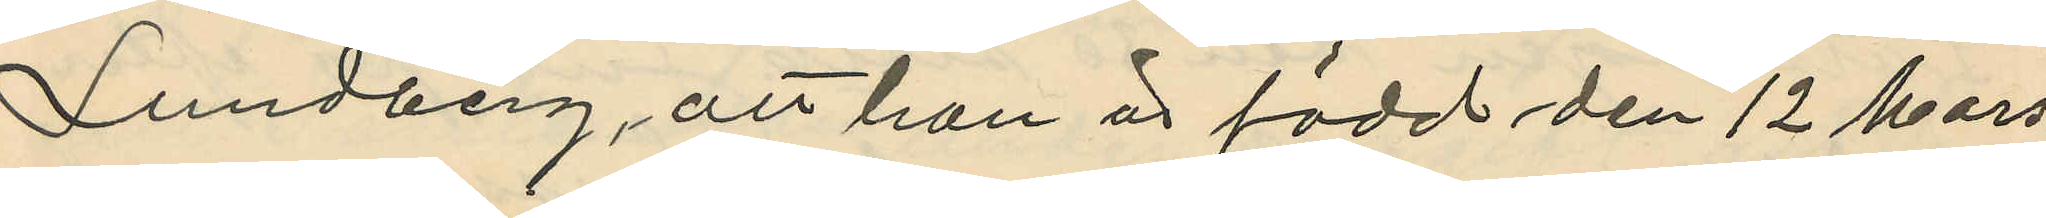Lundberg, att han är född den 12 Mars
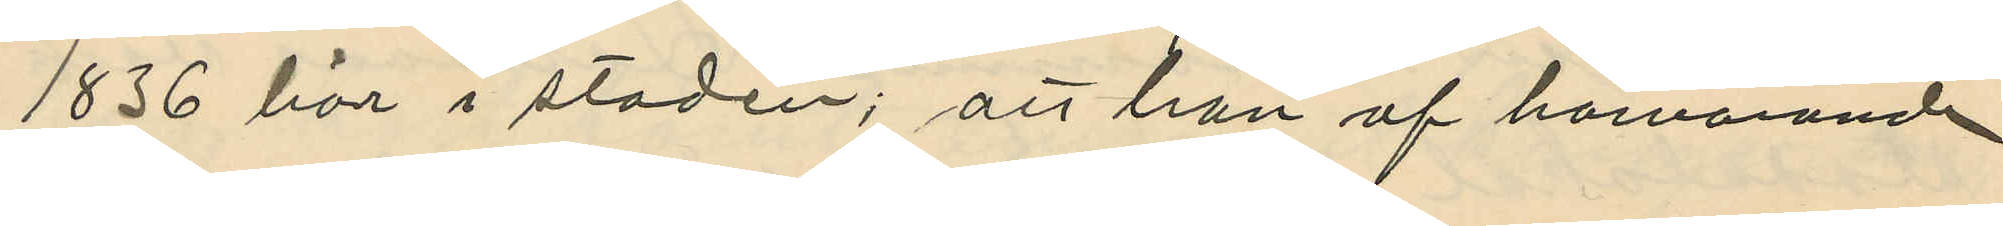1836 här i staden; att han af härvarande
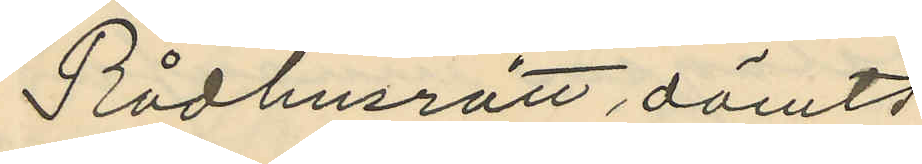Rådhusrätt dömts,
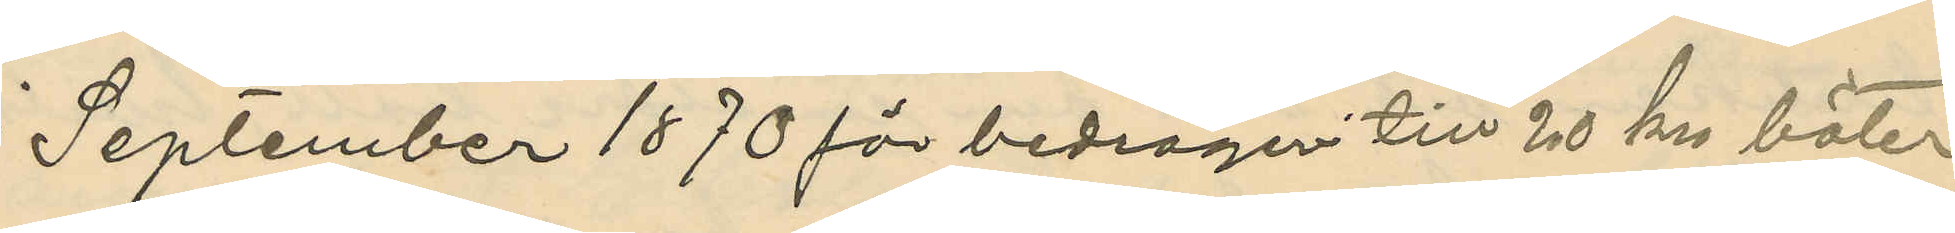i September 1870 för bedrägeri till 20 krs böter
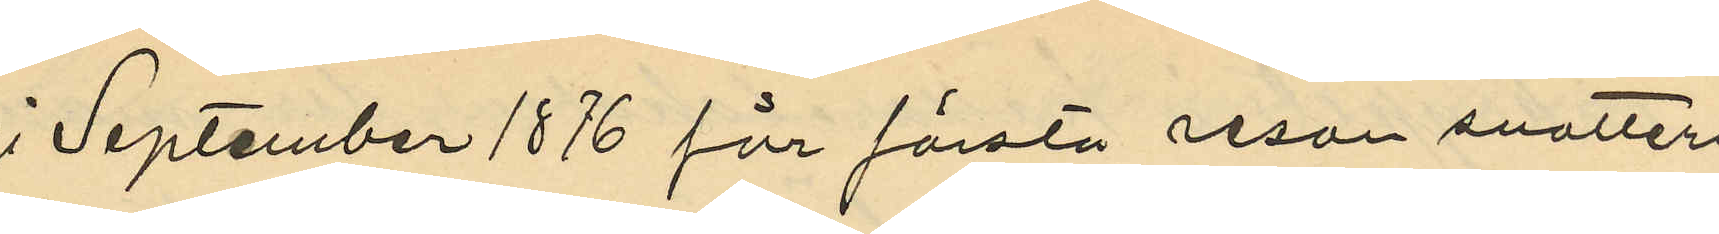i September 1876 för första resan snatteri
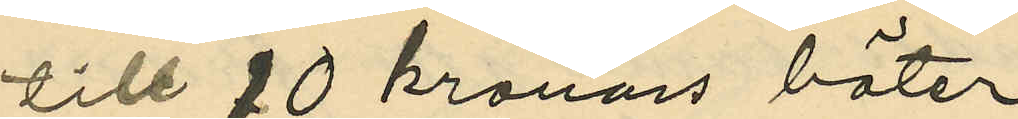till 10 kronors böter,
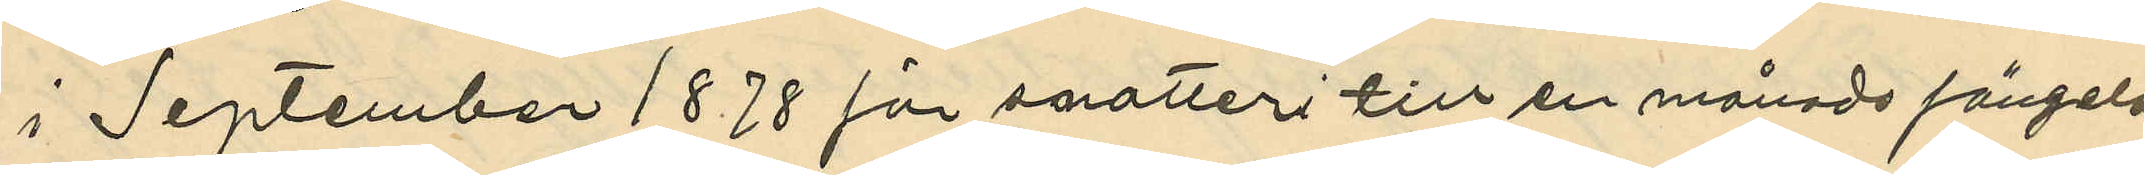i September 1878 för snatteri till en månads fängels
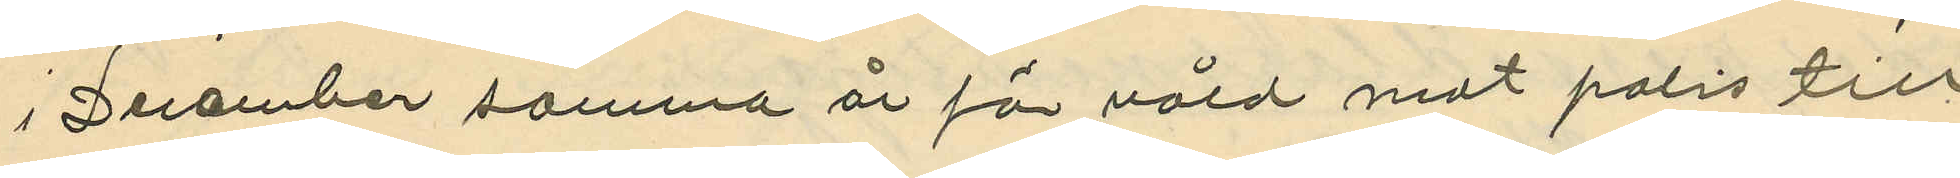i December samma år för våld mot polis till
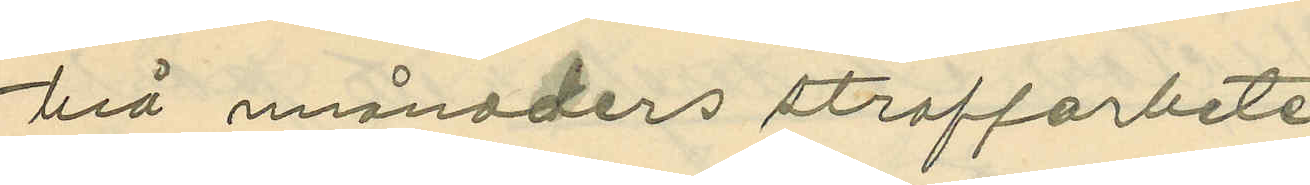två månaders straffarbete
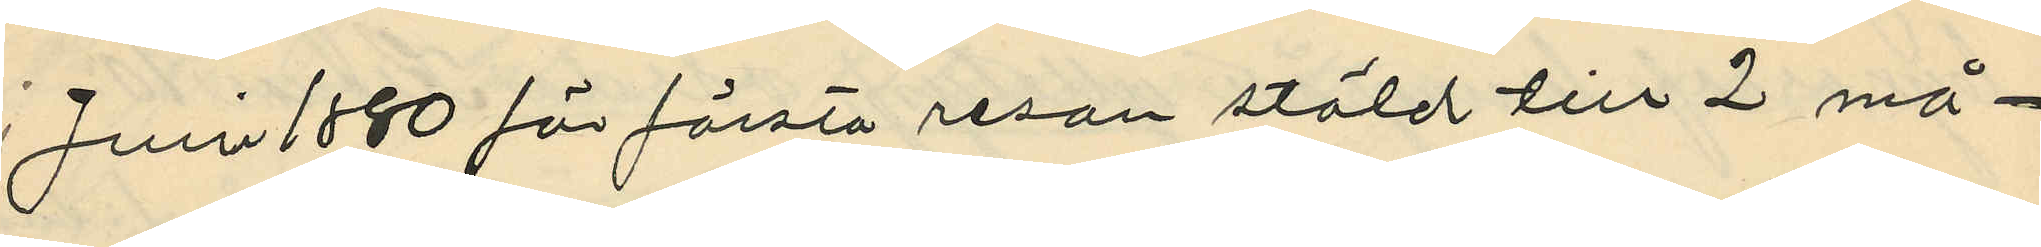i Juni 1880 för första resan stöld till 2 må¬
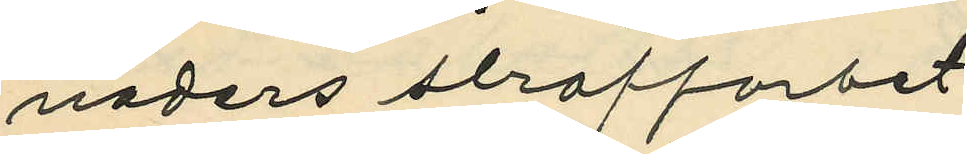naders slraffarbet
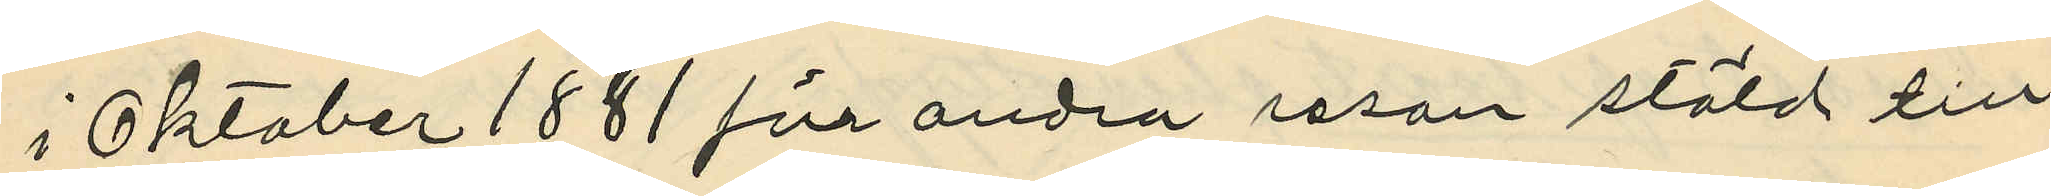i Oktober 1881 för andra resan stöld till
